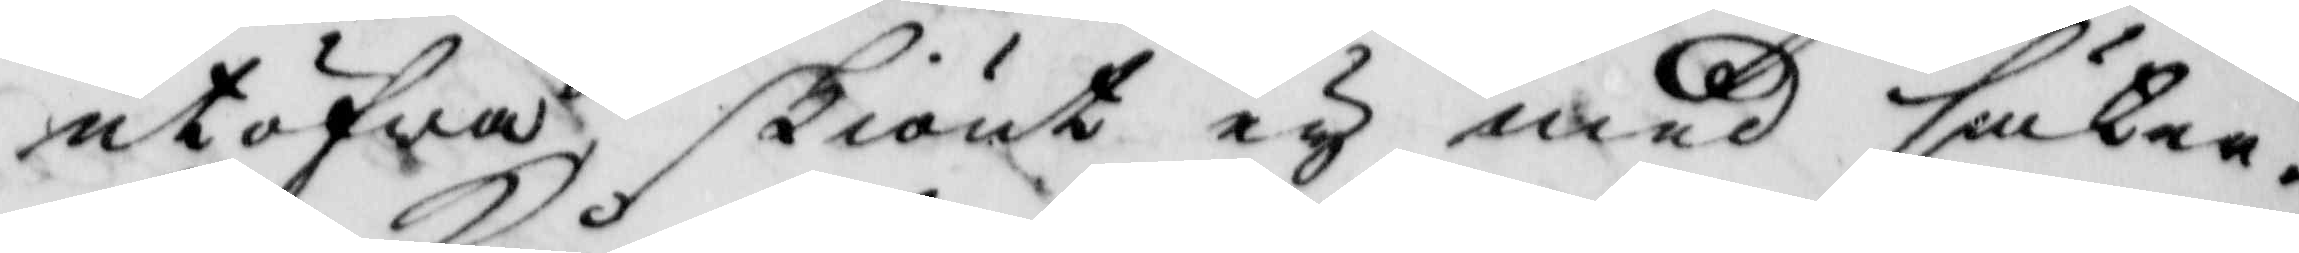utöfwa, skiönt ey med säker¬
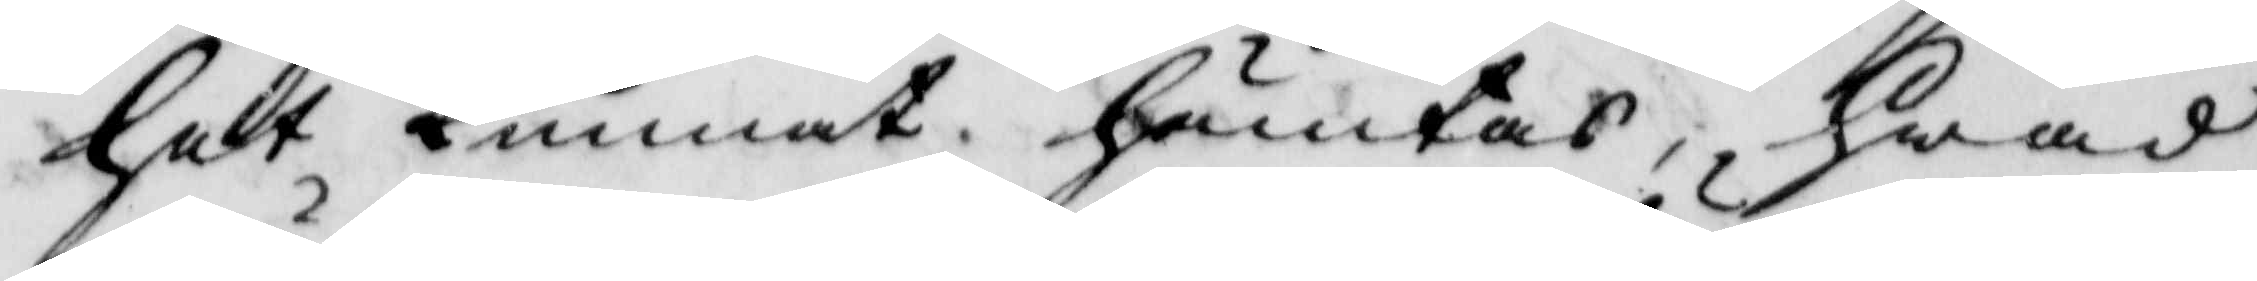het kunnat hämtas, hwad
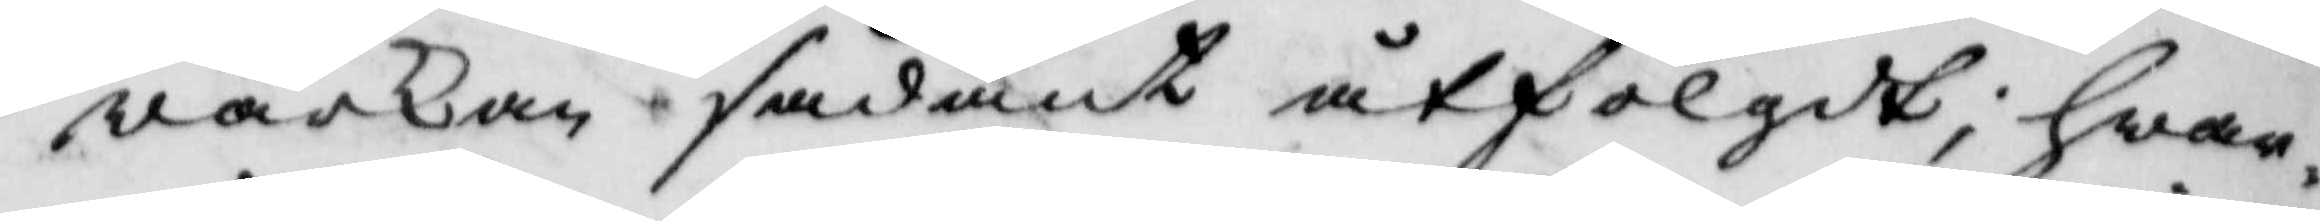wärkan sådant åtfölgdt, hwar¬
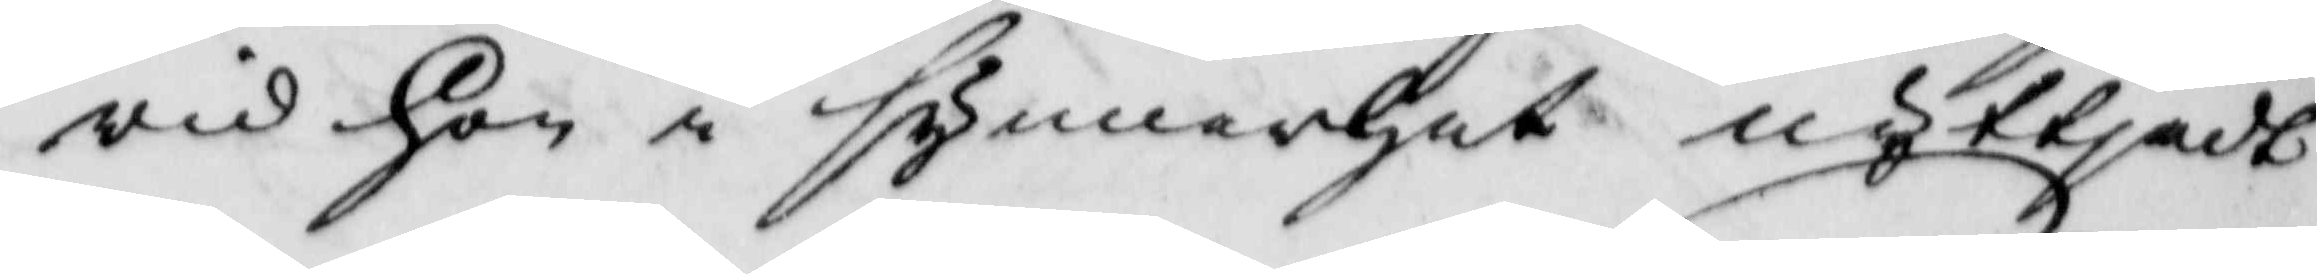wid hon i synnerhet nyttjadt
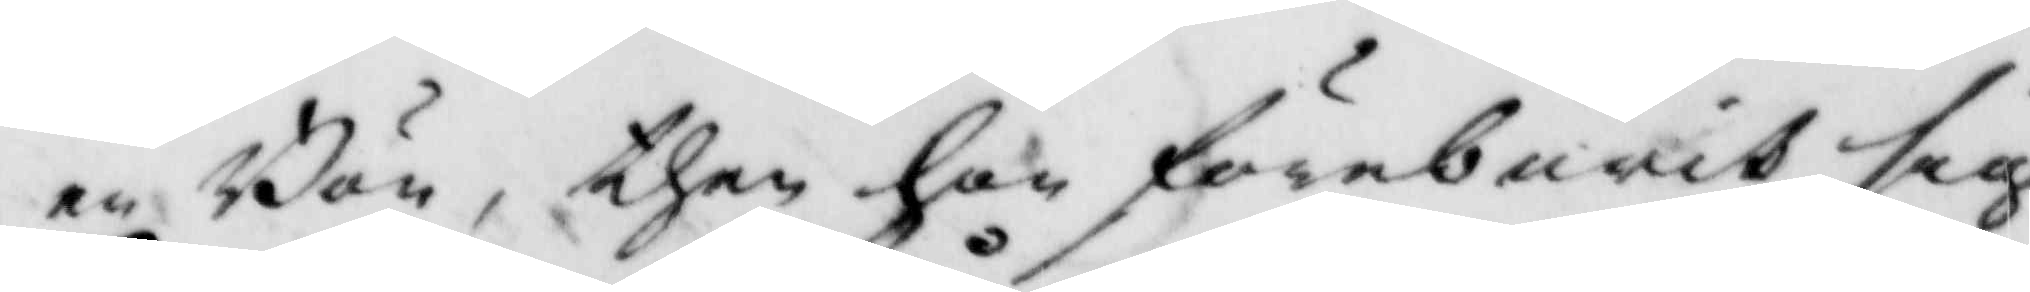en Bön, then hon förburit sig
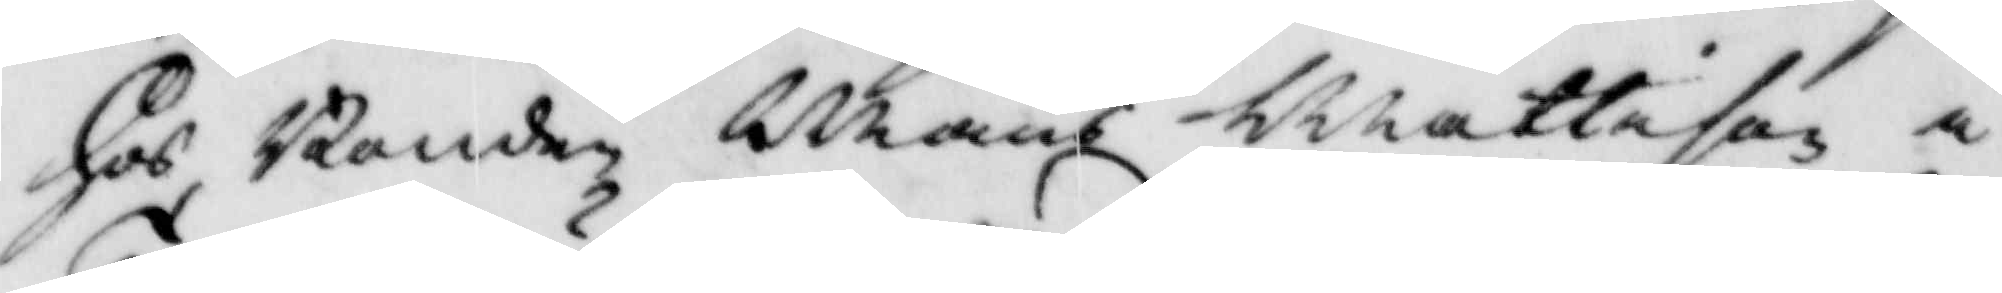hos Bonden Måns Mattison i
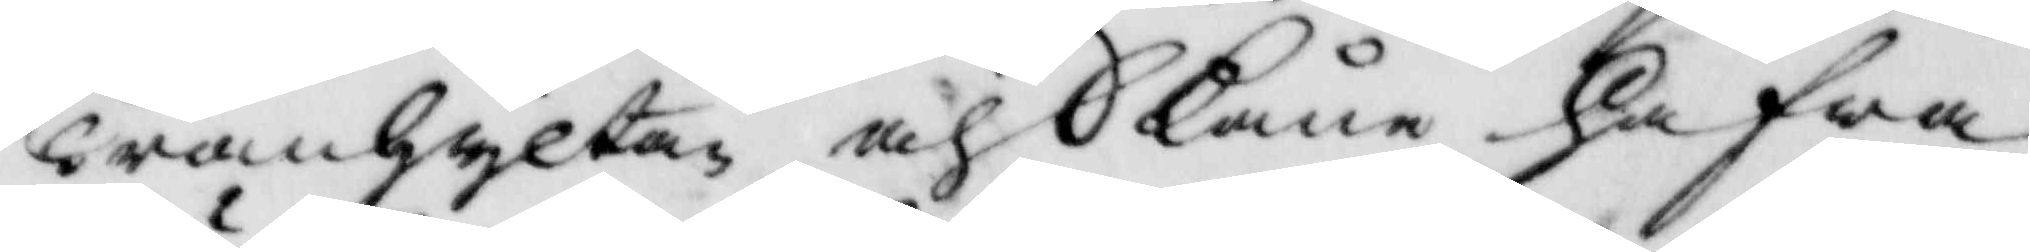Tranhyltan och Skåne hafwa
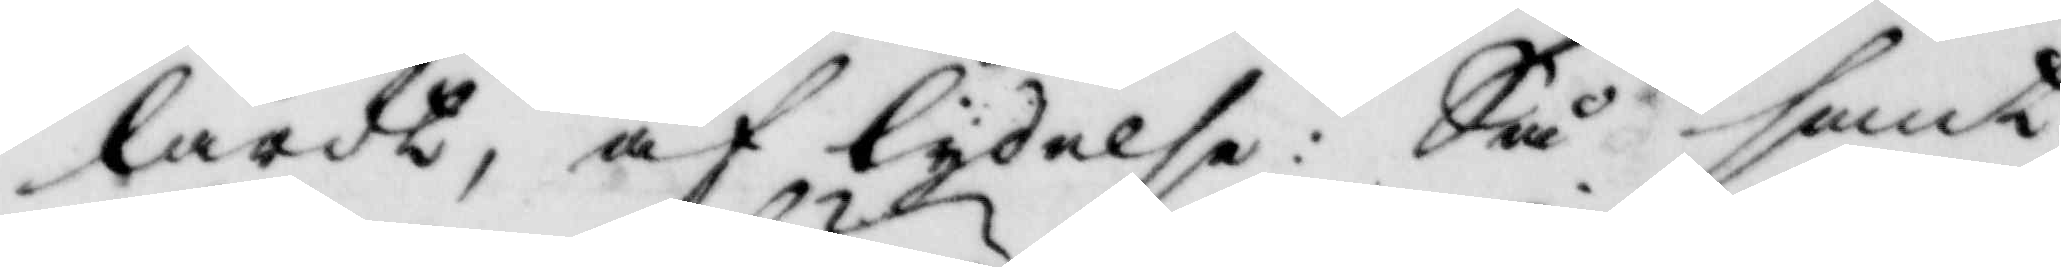lärdt, af lydelse: Så sant
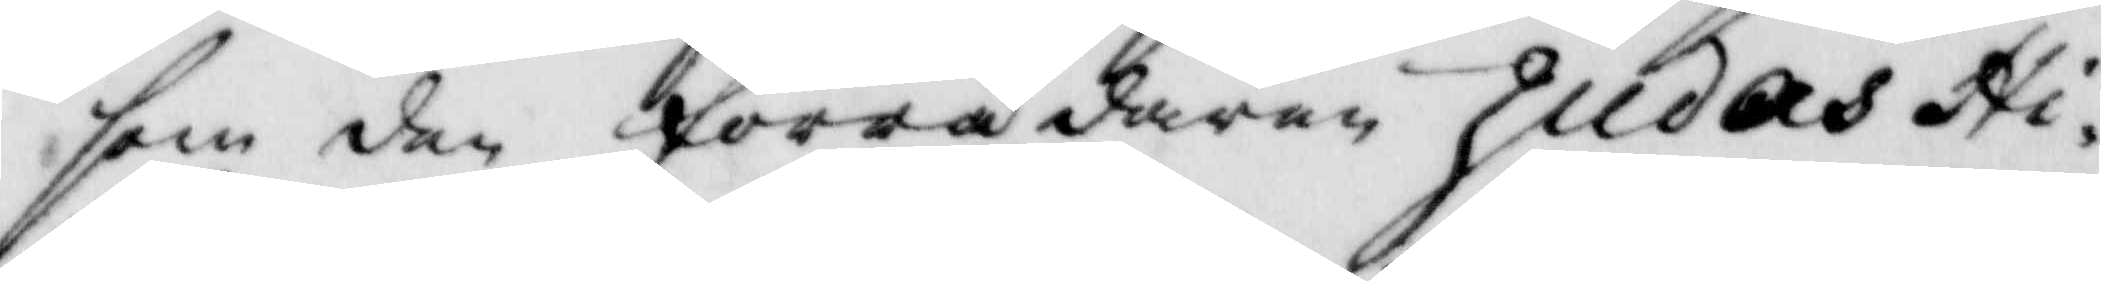som den förrädaren Judas Hi¬
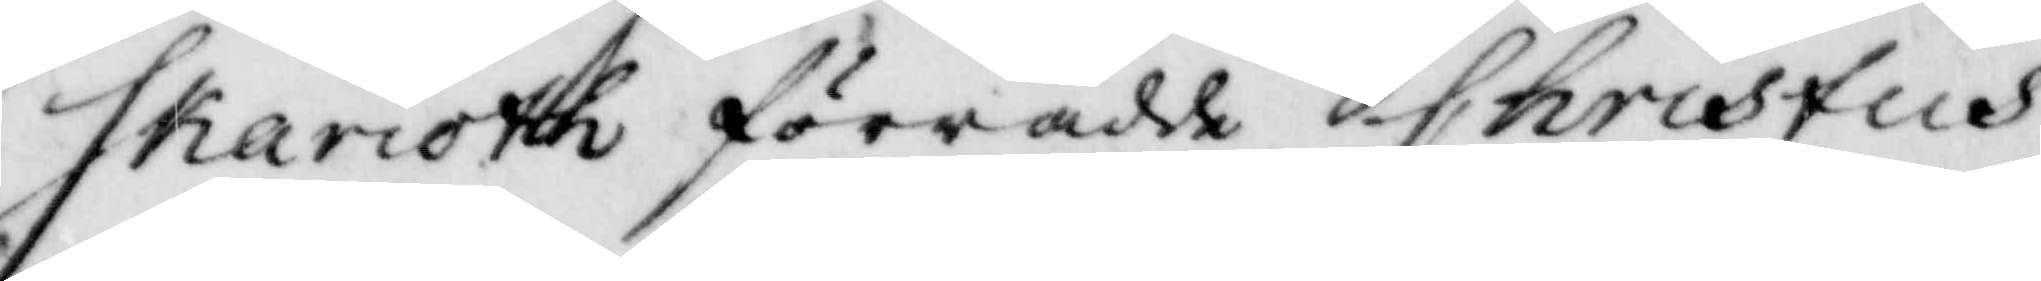skarioth förrådde Christus,
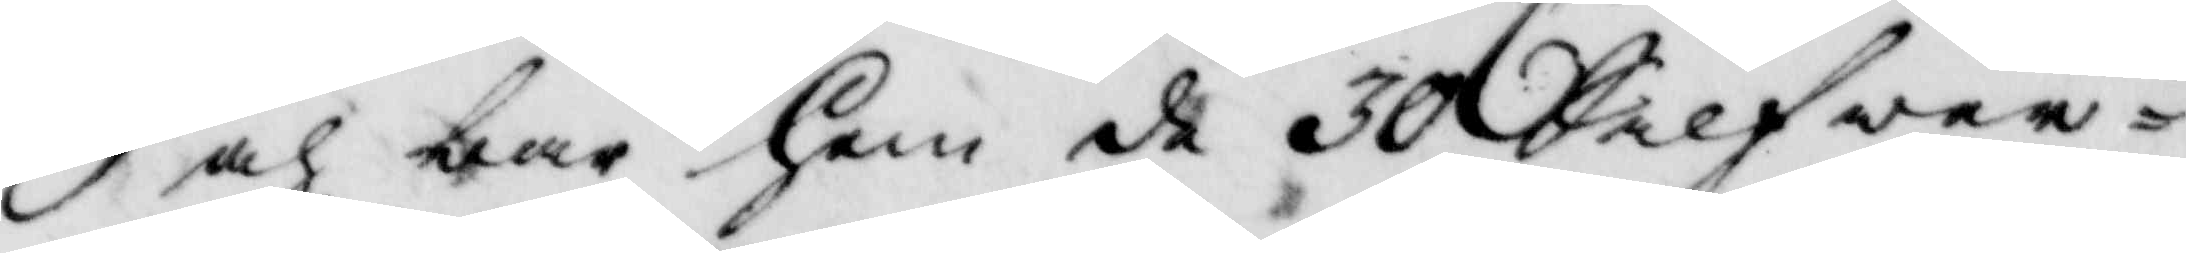och bar hem de 30 Silfwer¬
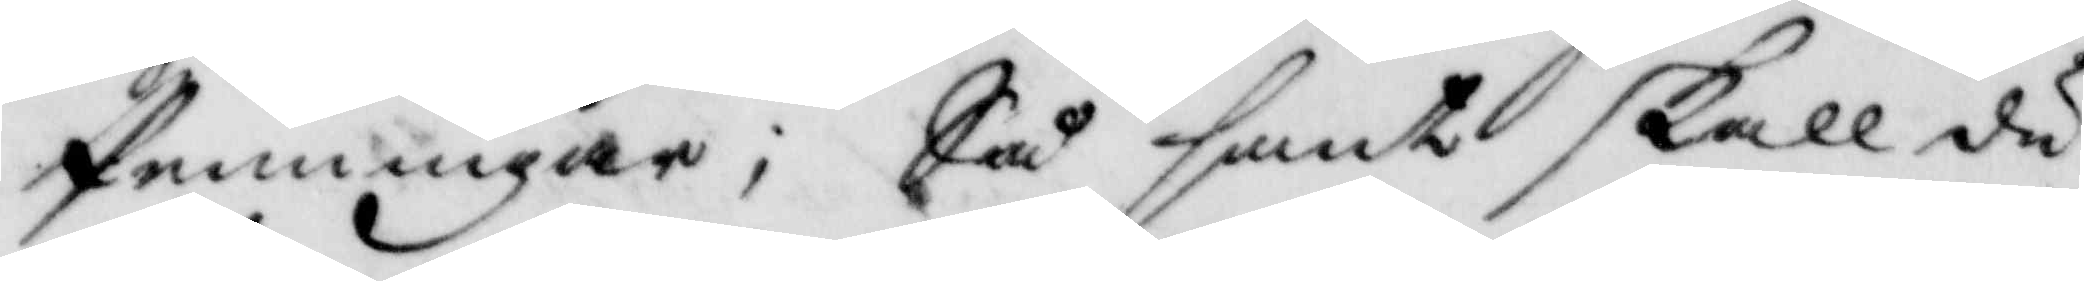Penningar; Så sant skall du
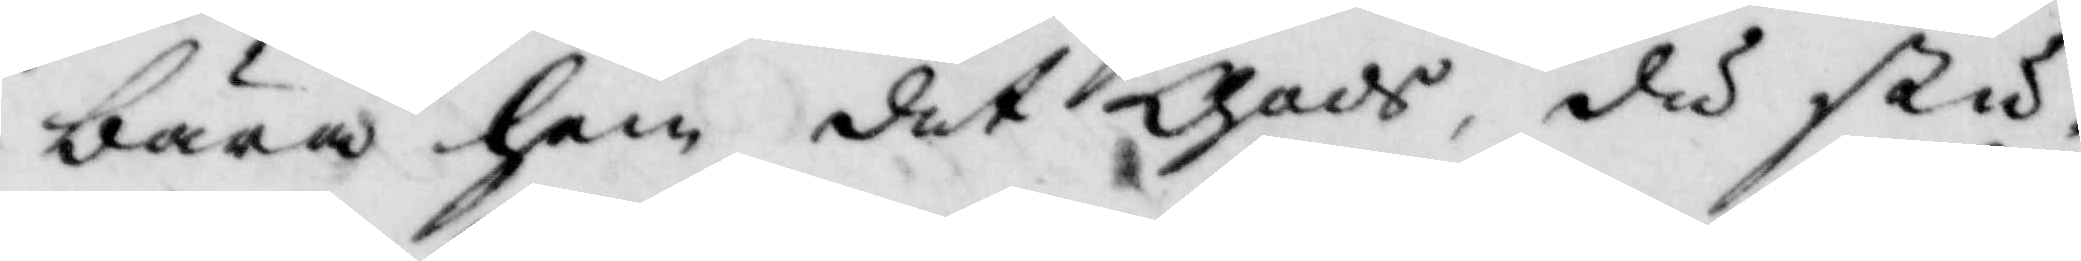bära hem det gods, du stu¬
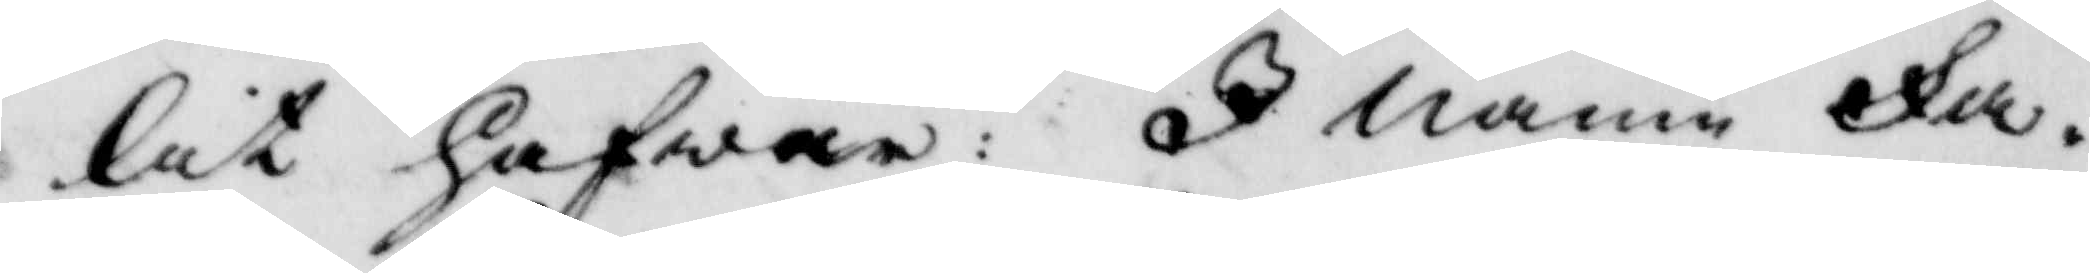lit hafwer: I namn Fa¬
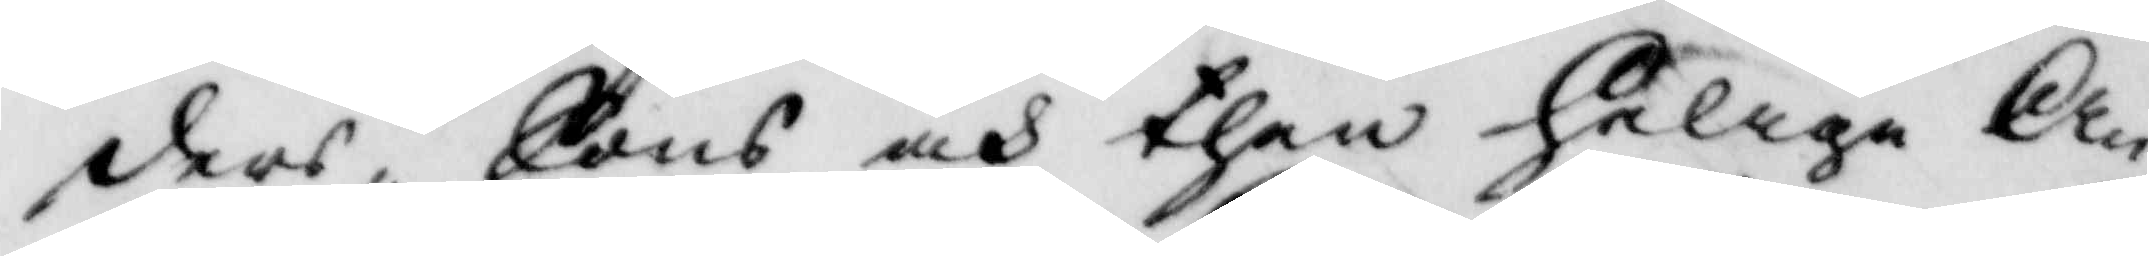ders, Sons och then Helige An¬
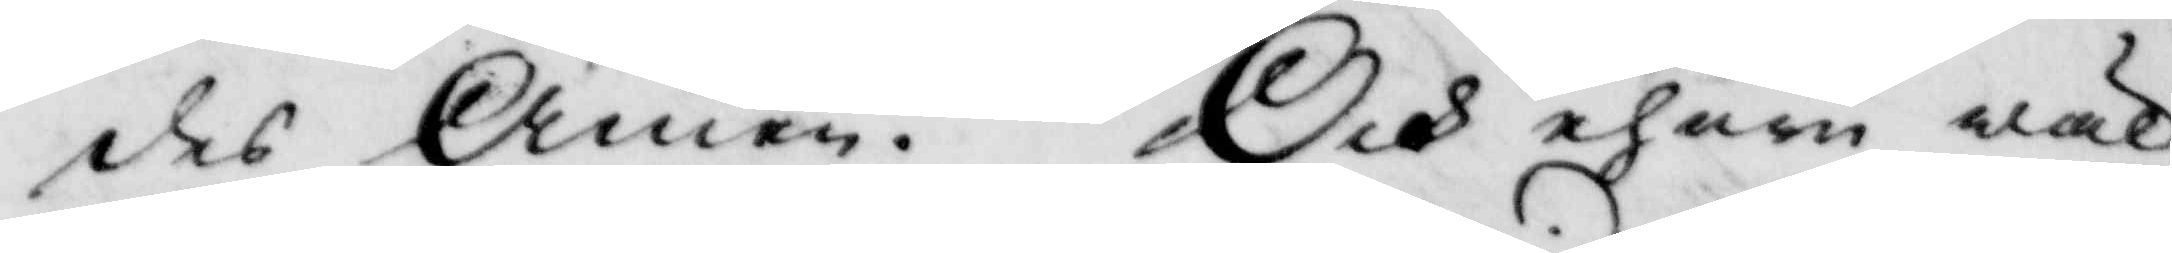des Amen. Och ehuru wäl
